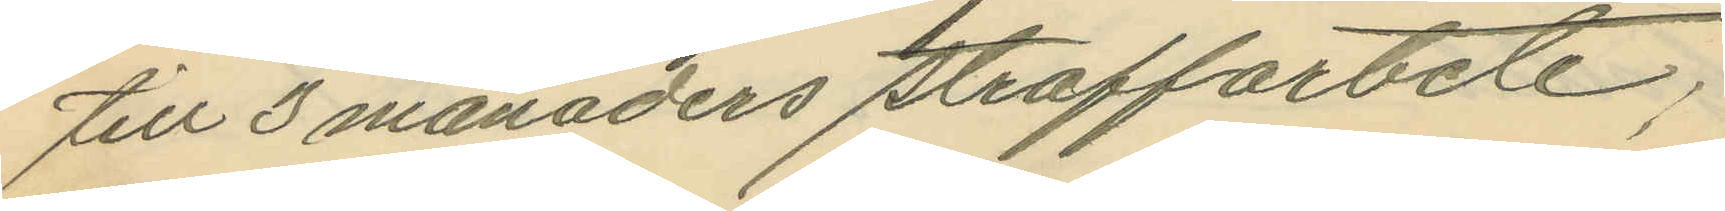till 3 månaders straffarbete;
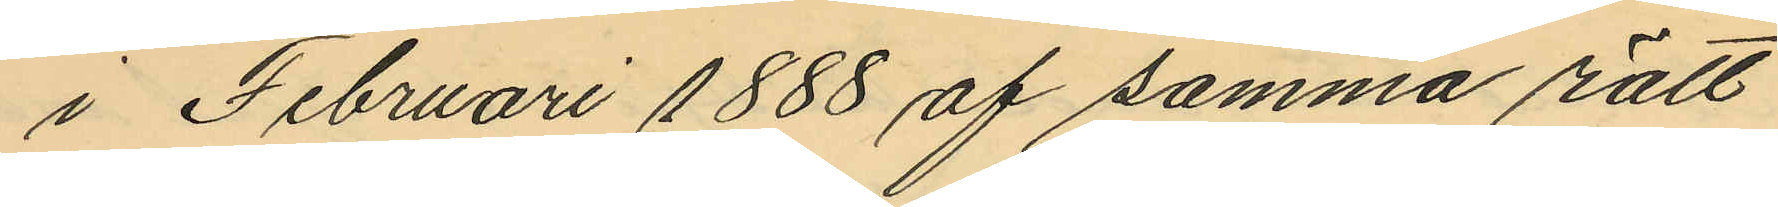i Februari 1888 af samma rätt
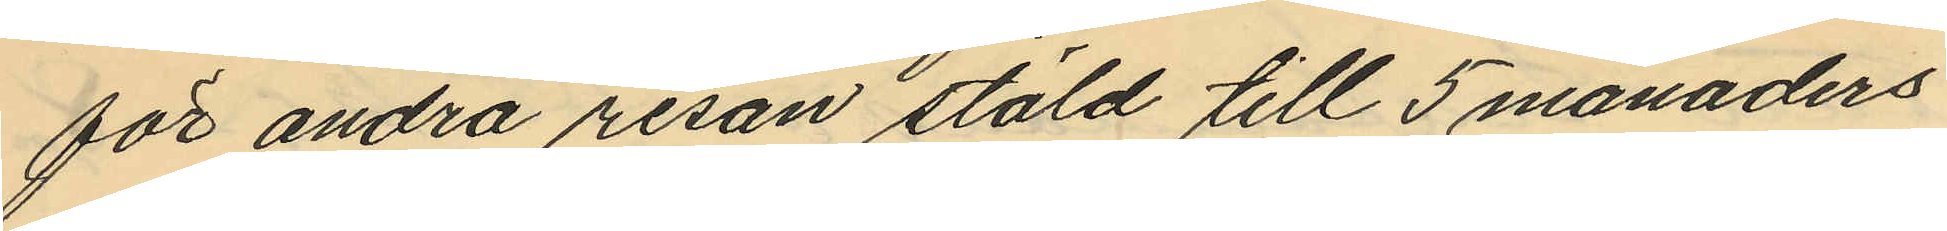för andra resan stöld till 5 månaders
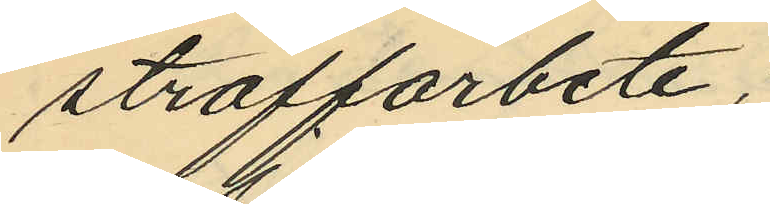straffarbete;
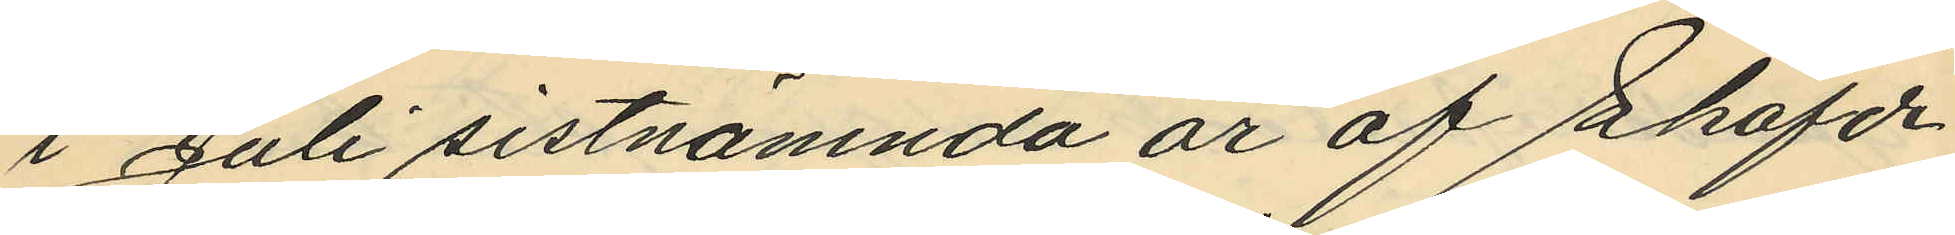i Juli sistnämnda år af Sköfde
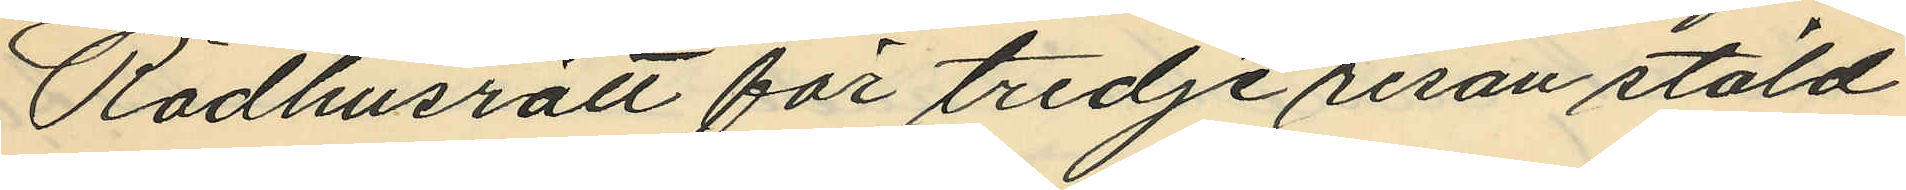Rådhusrätt för tredje resan stöld
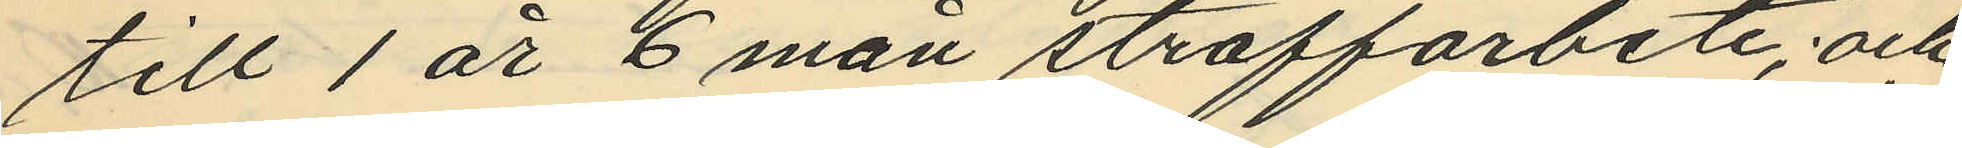till 1 år 6 mån straffarbete; och
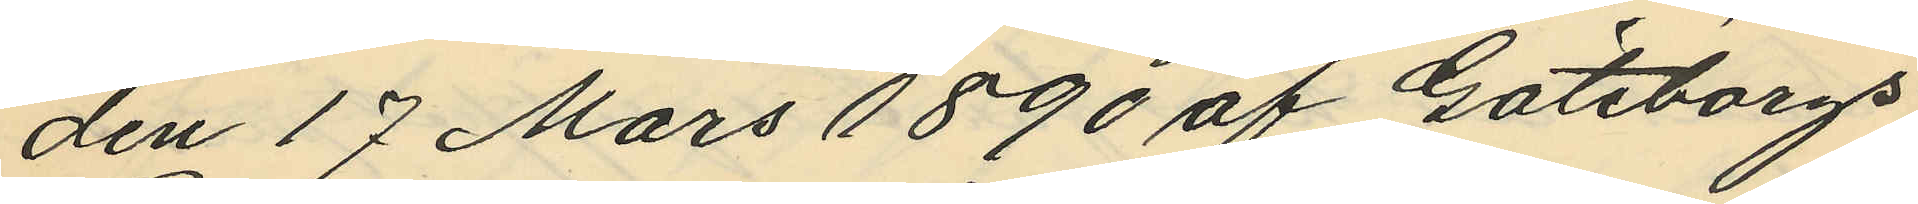den 17 Mars 1890 af Göteborgs
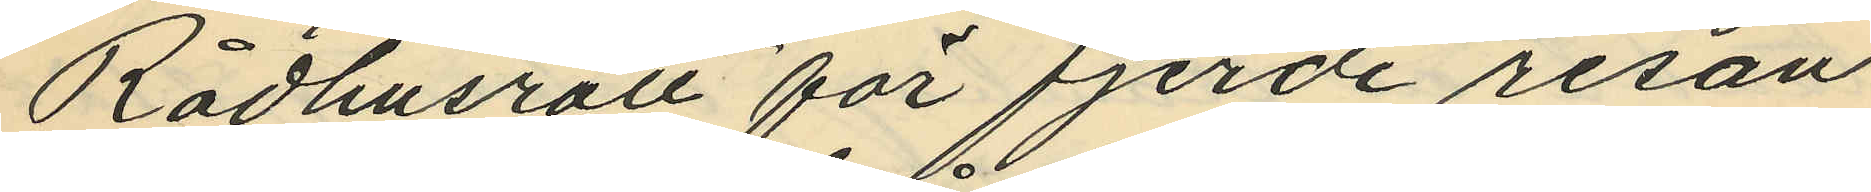Rådhusrätt för fjerde resan
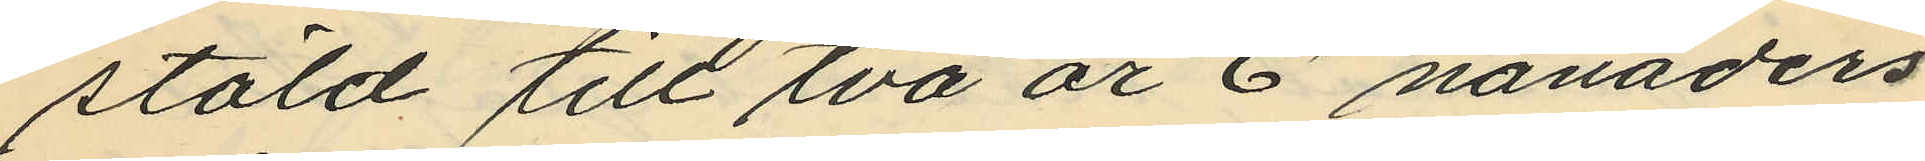stöld till två år 6 månaders
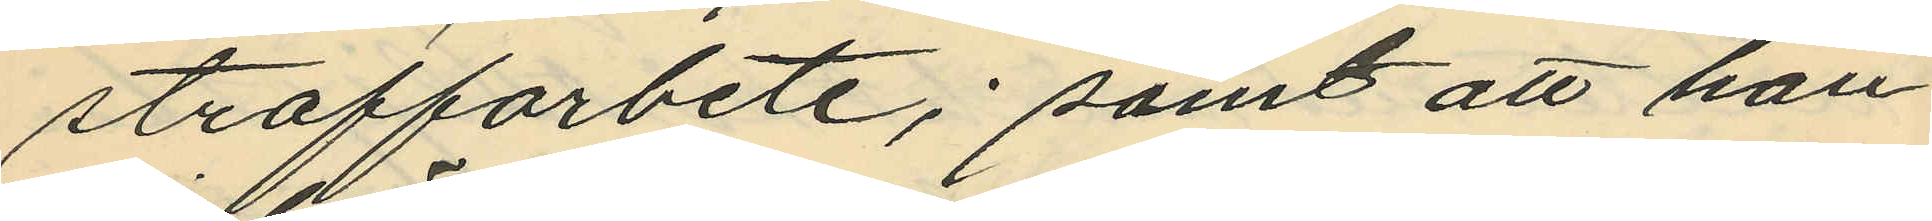straffarbete; samt att han
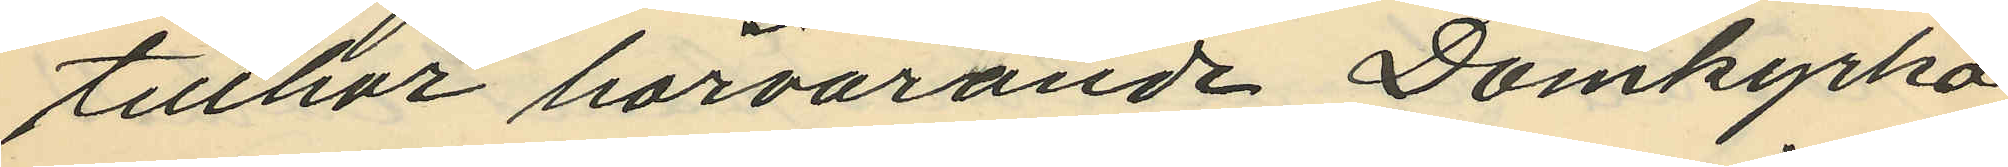tillhör härvarande Domkyrko-
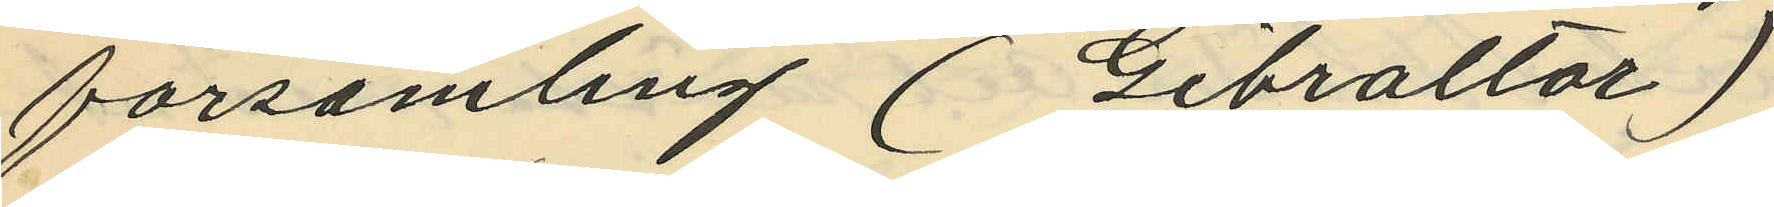forsamling (Gibraltar)
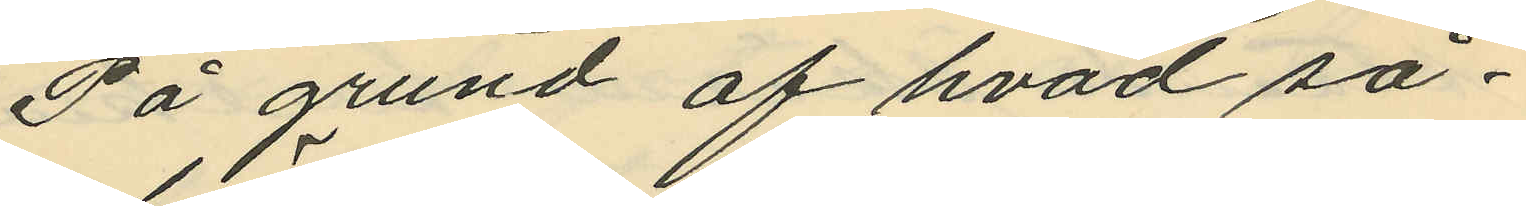På grund af hvad så¬
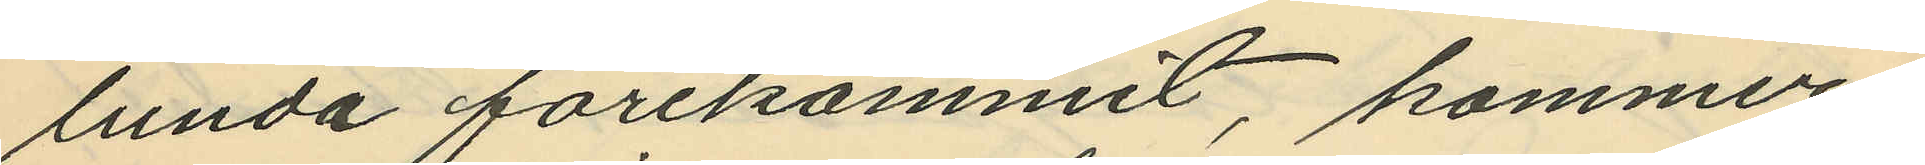lunda förekommit, kommer
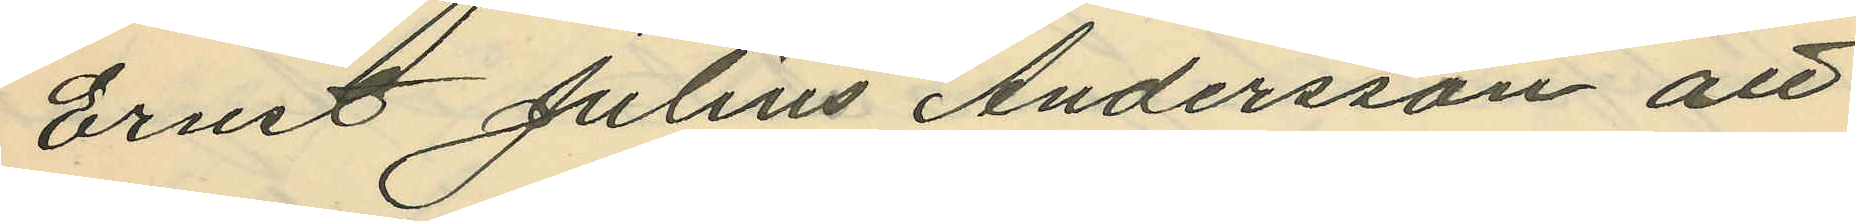Ernst Julius Andersson att
